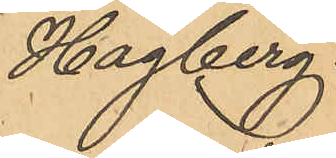Hagberg.
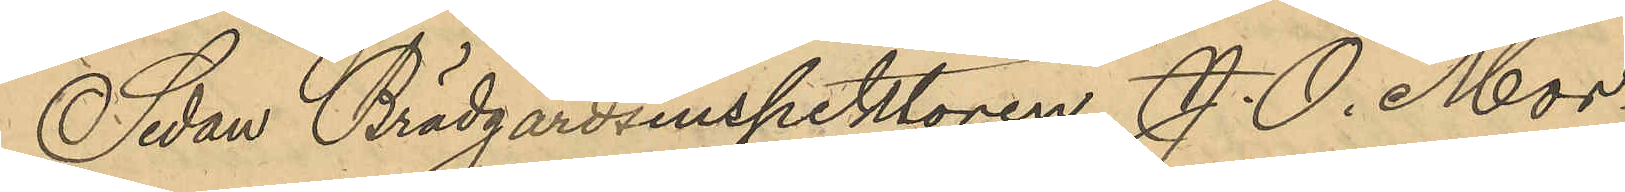Sedan Brädgårdsinspektoren J. O. Mor¬
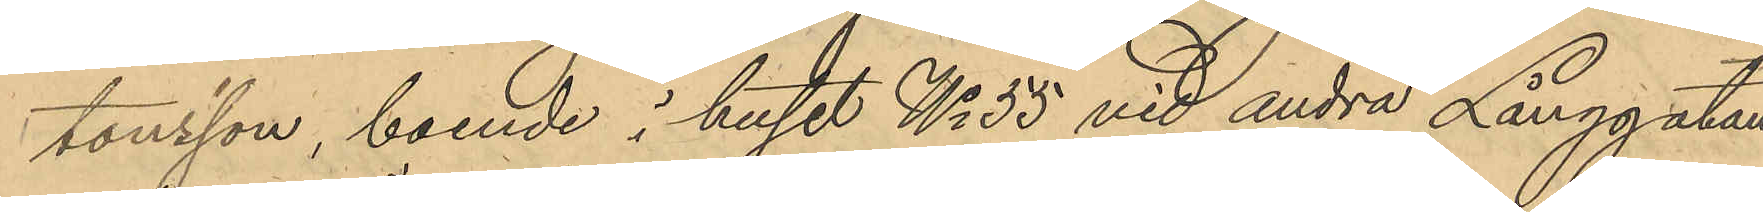tonsson, boende i huset No 55 vid andra Långgatan
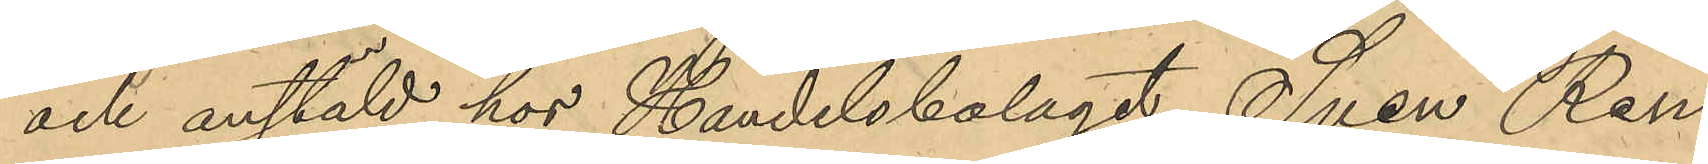och anstäld hos Handelsbolaget Sven Ren¬
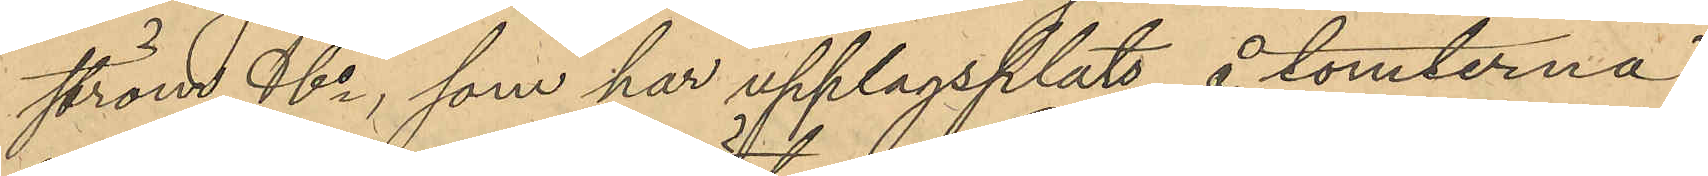ström & Co, som har upplagsplats å tomterna
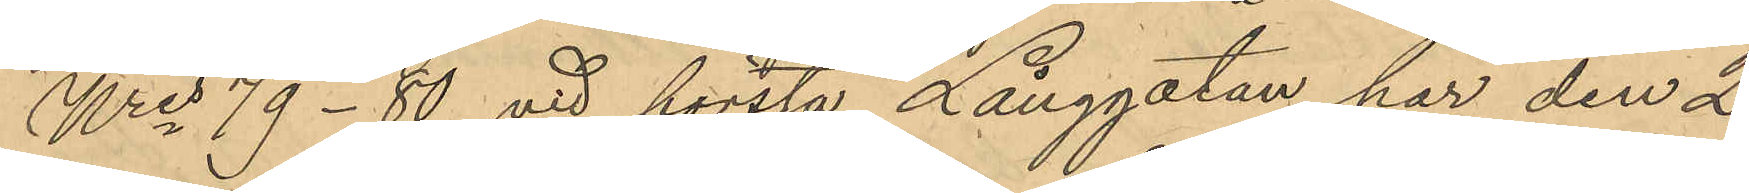Nris 79-80 vid första Långgatan har den 2
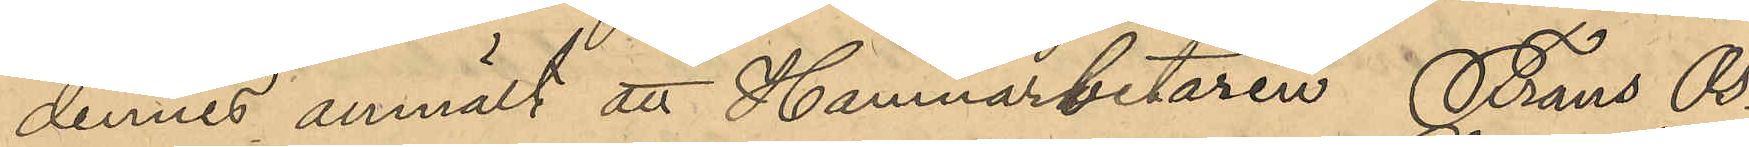dennes anmält att Hamnarbetaren Frans Os¬
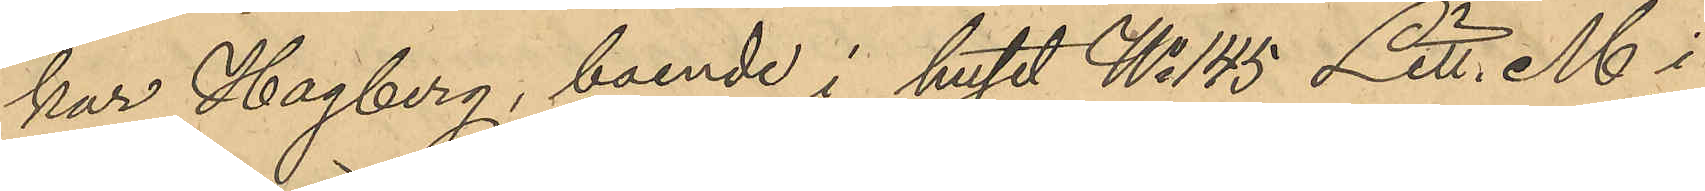kar Hagberg, boende i huset No 145 Litt. M i
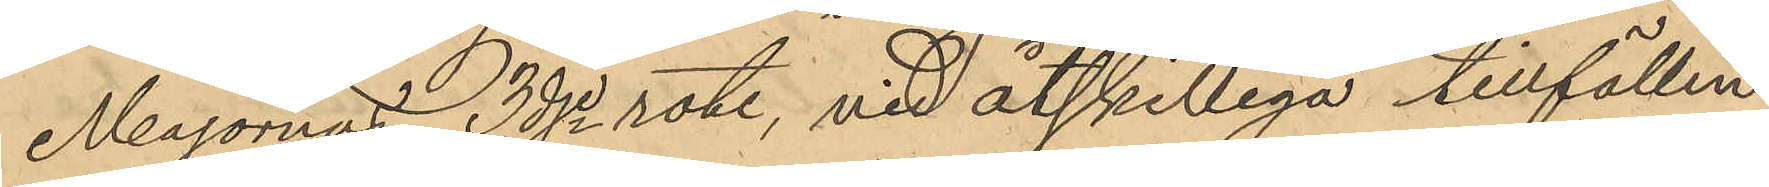Majornas 3dje rote, vid åtskilliga tillfällen
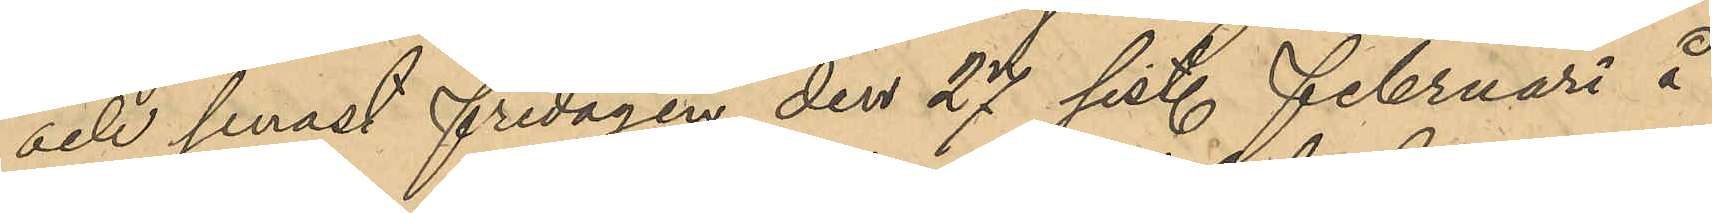och senast fredagen den 27 sist. Februari å
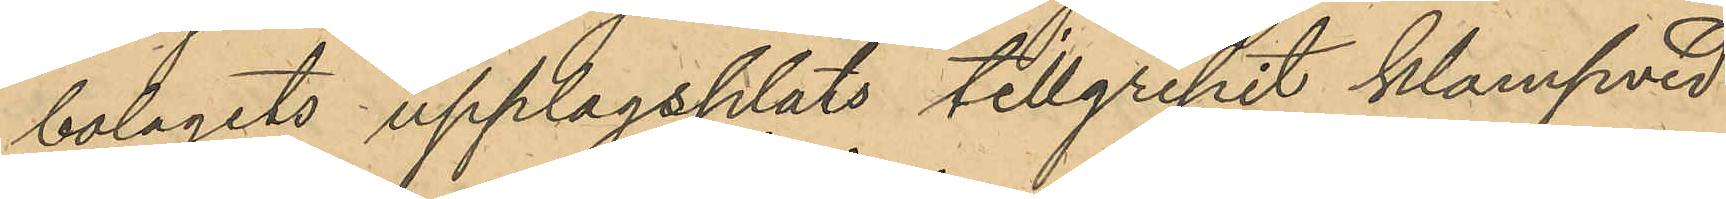bolagets upplagsplats tillgripit klampved
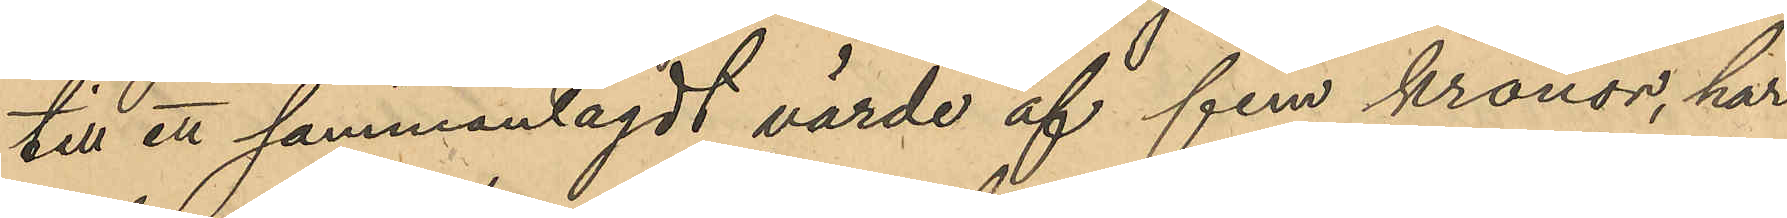till ett sammanlagdt värde af fem kronor, har
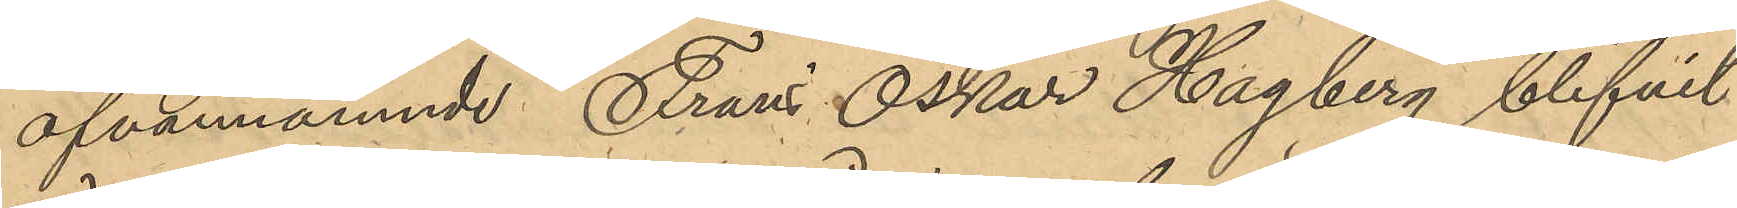ofvannämnde Frans Oskar Hagberg blifvit
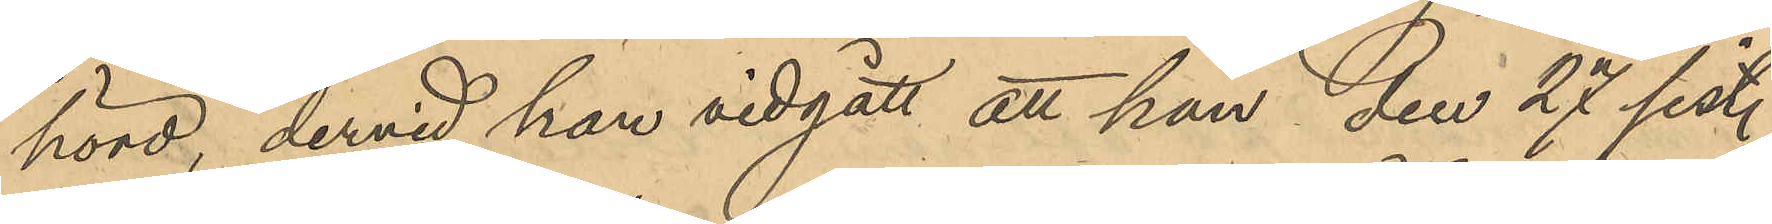hörd, dervid han vidgått att han den 27 sist.
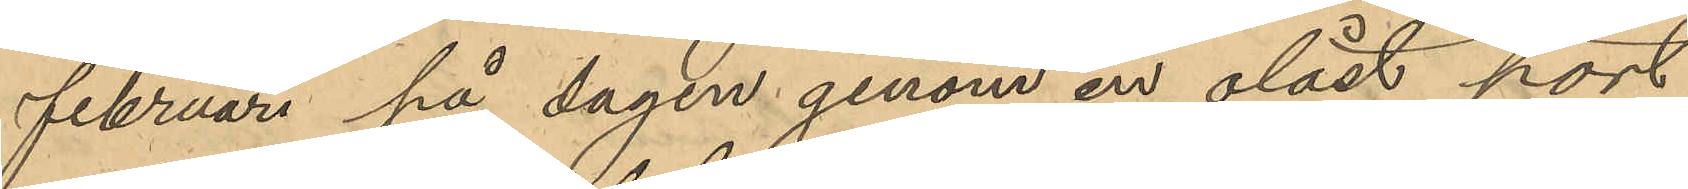februari på dagen genom en olåst port
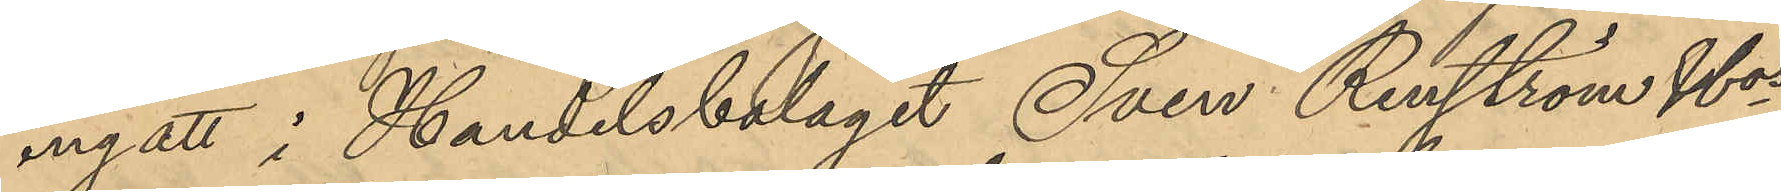ingått i Handelsbolaget Sven Renström & Cos
